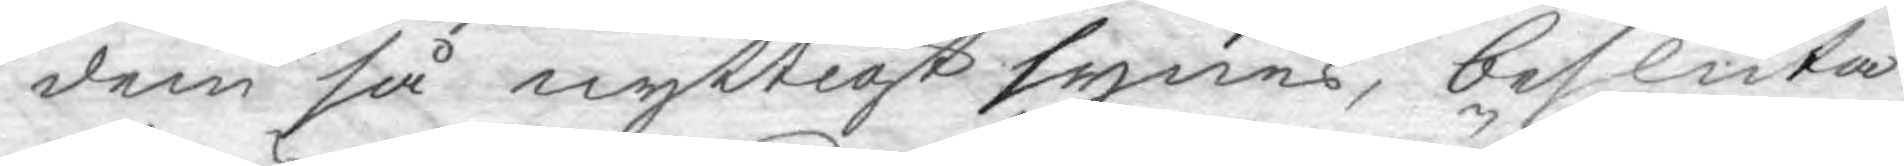dem så nyttigt synes, besluta
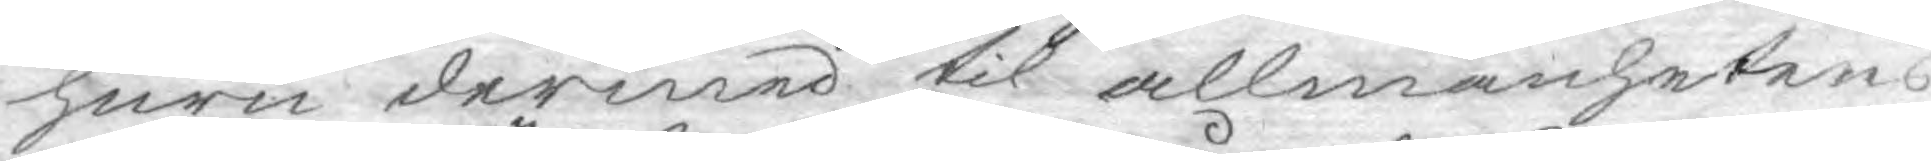huru dermed til allmänhetens
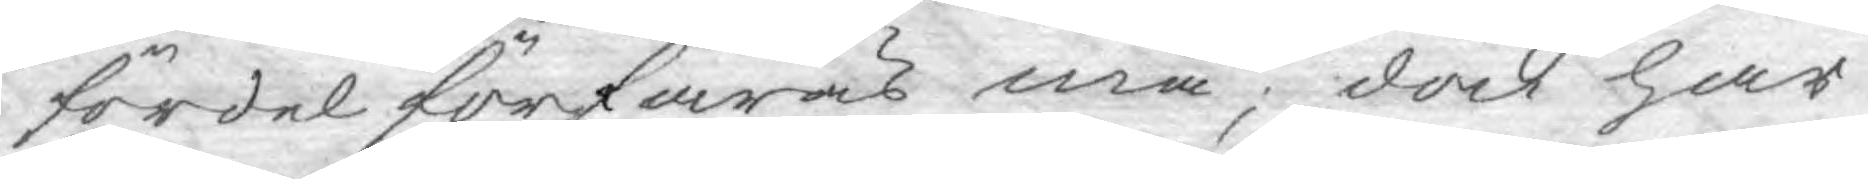fördel förfaras må; dock har
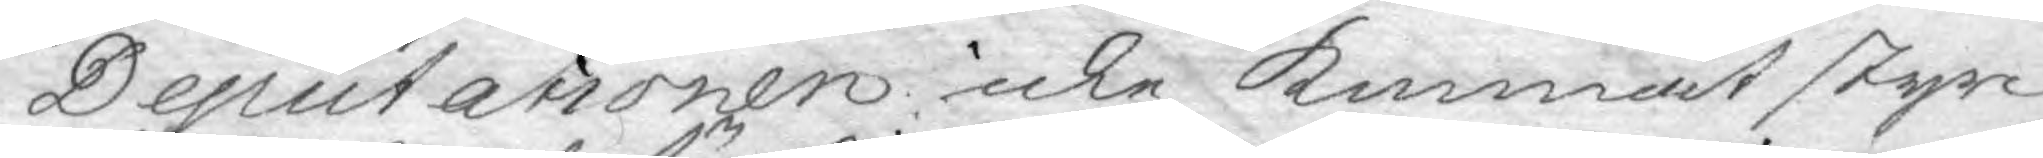Deputationen icke kunnat styr
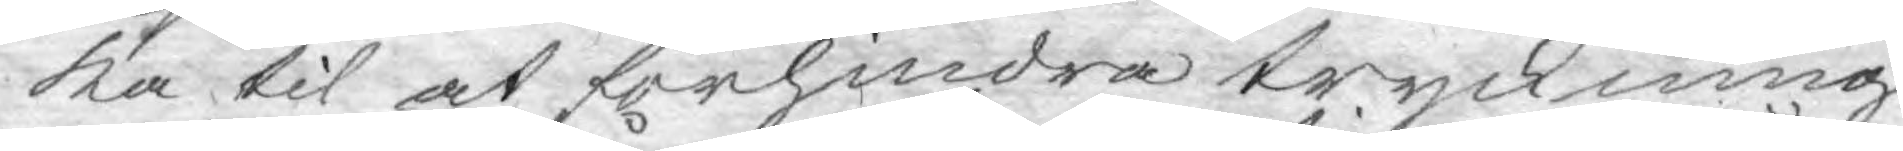ka til at förhindra tryckning
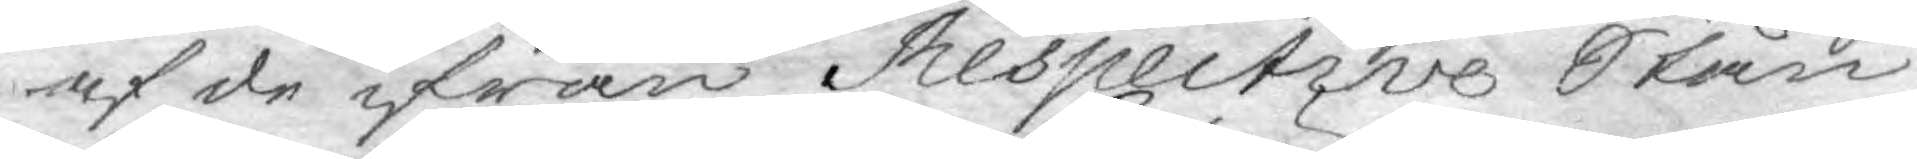af de ifrån Respective Stån¬
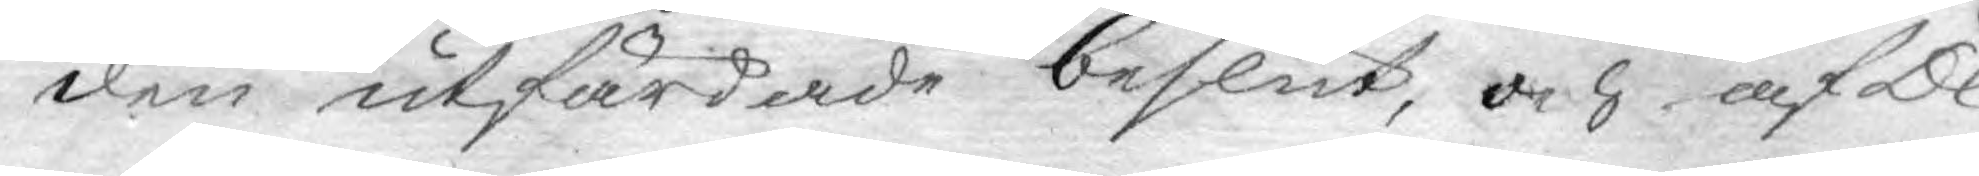den utfärdade beslut, och af De¬
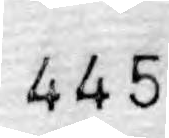445
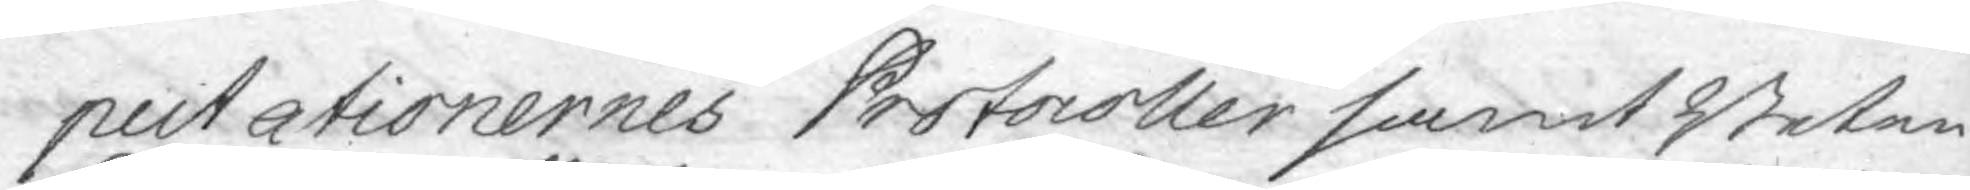putationernes Protocoller samt Beten¬
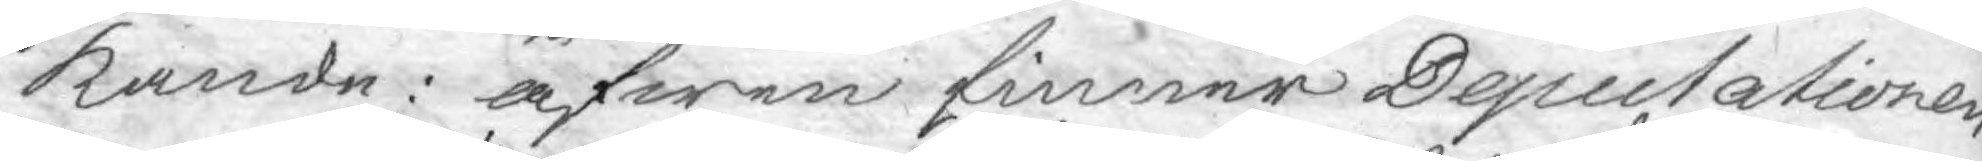kande: äfwen finner Deputationen
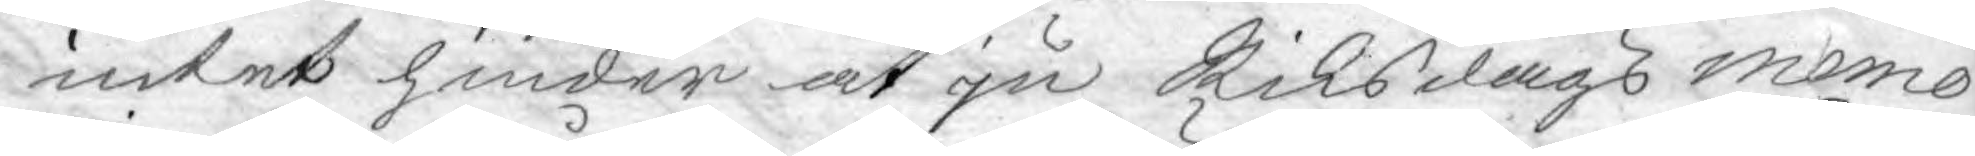intet hinder at ju Riksdags memo¬
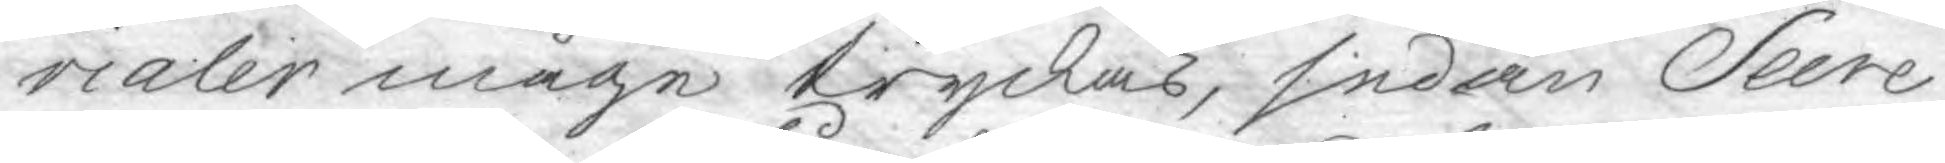rialer måge tryckas, sedan Secre¬
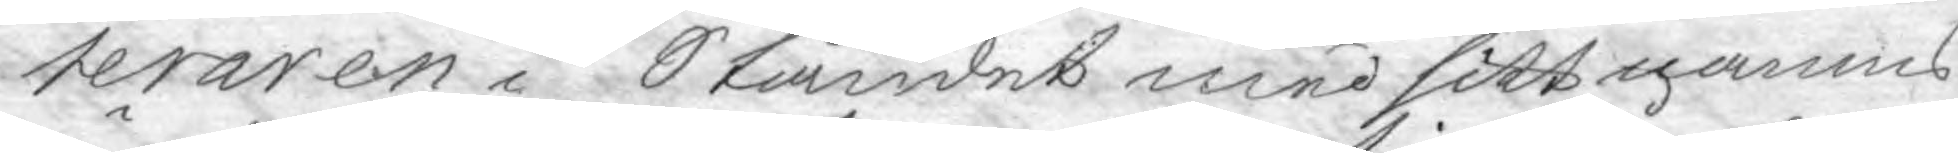teraren i Ståndet med sitt namns
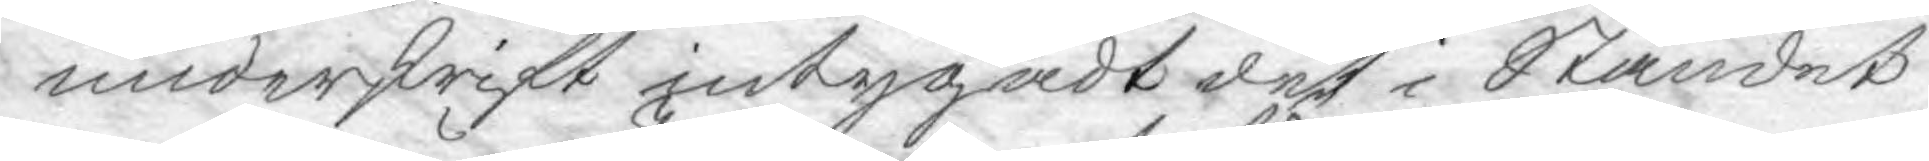underskrift intygadt det i Ståndet
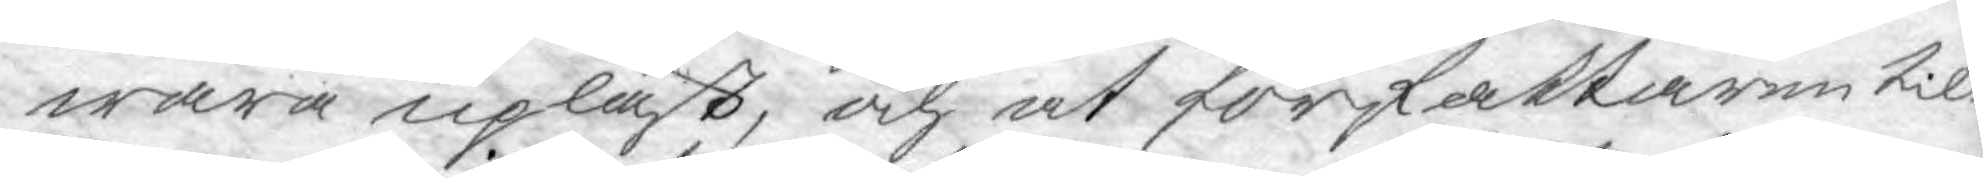wara upläst, och at författaren til
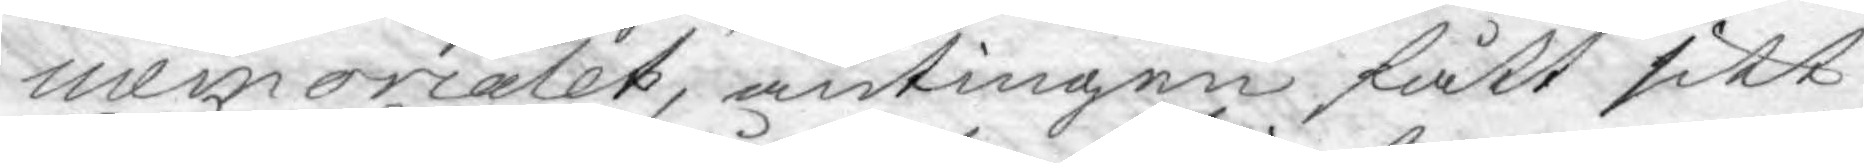memorialet, antingen fått sitt
